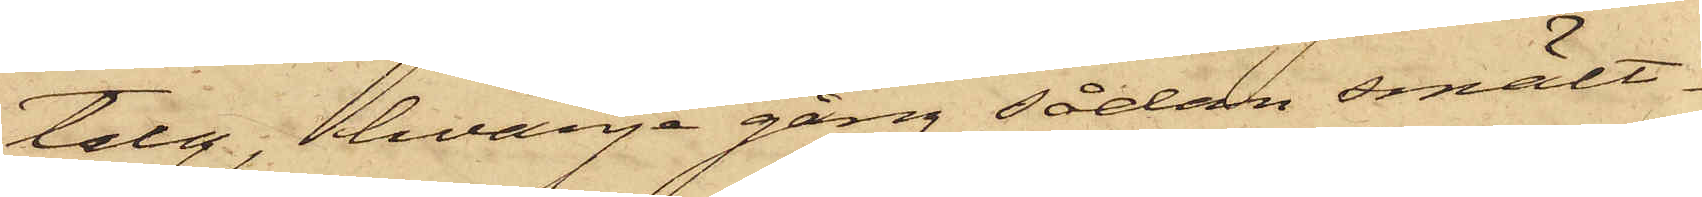talg, hvarje gång sådan smält¬
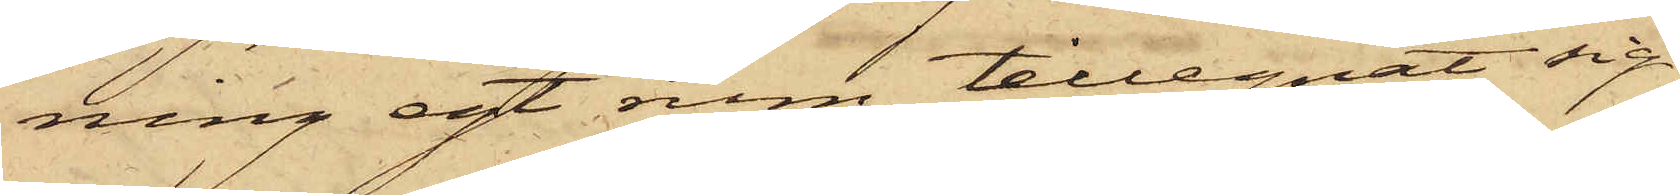ning egt rum, tillegnat sig
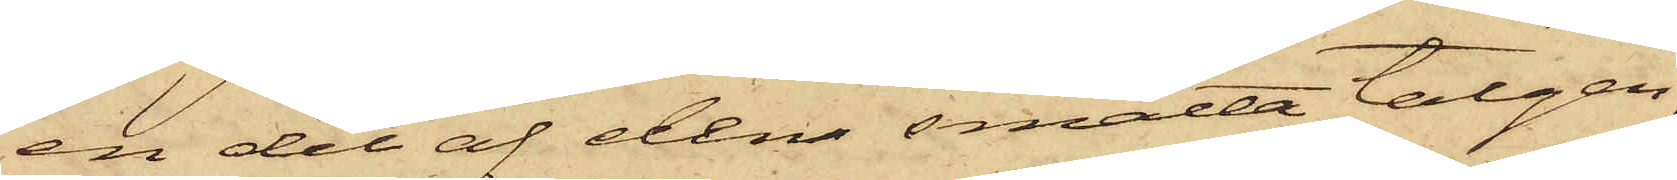en del af den smälta talgen,
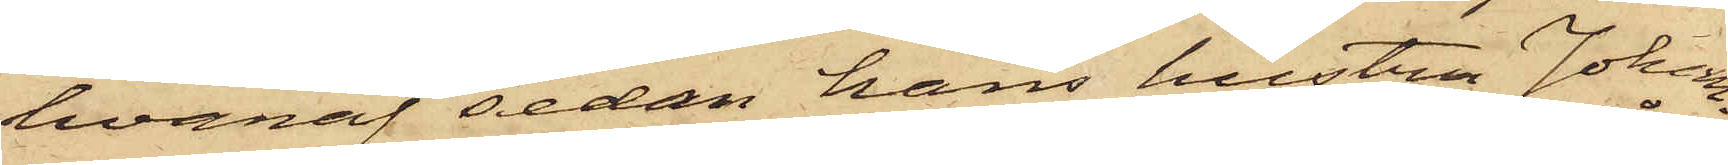hvaraf sedan hans hustru Johan¬
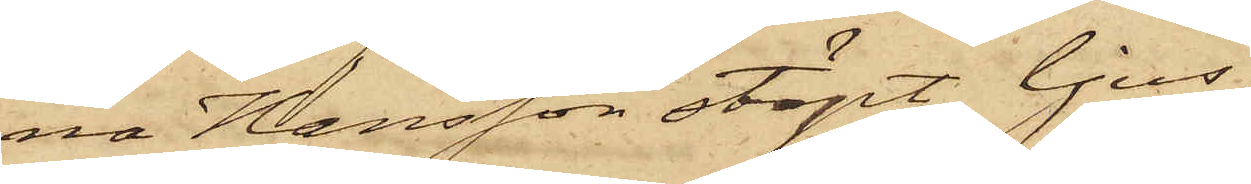na Hansson stöpt ljus;
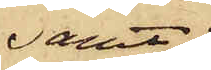samt
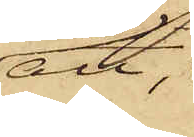att,
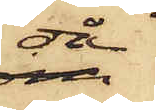då
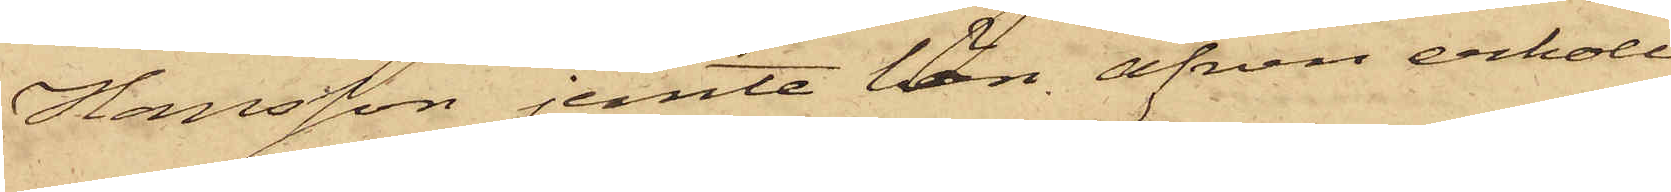Hansson jemte lön äfven erhöll
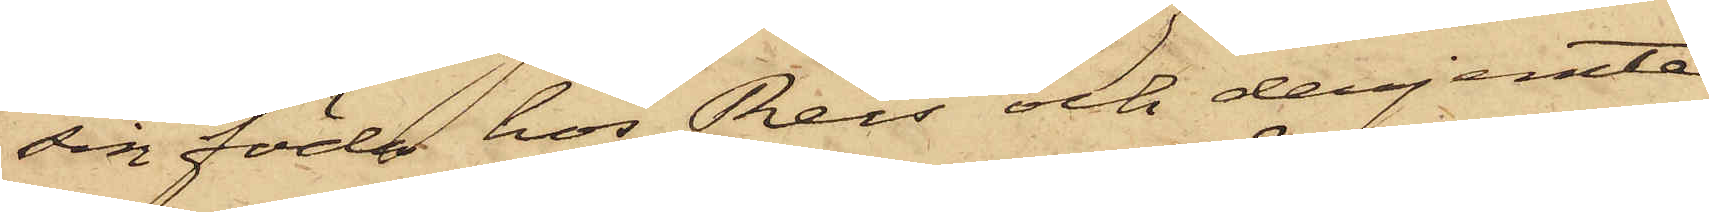sin föda hos Reis och derjemte
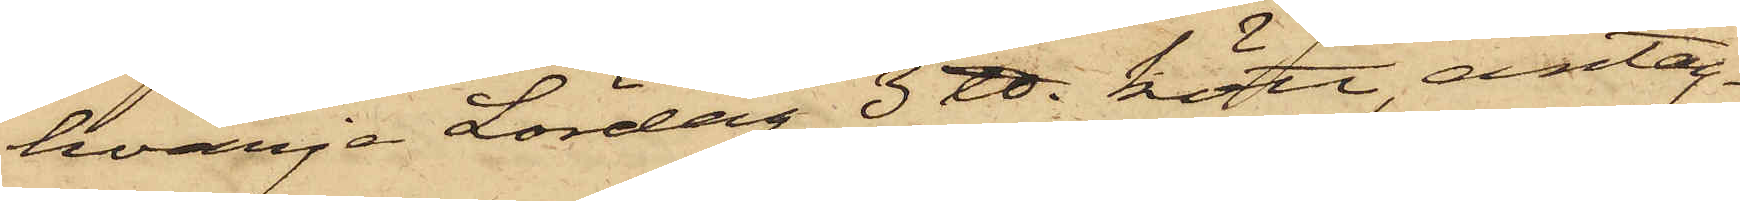hvarje Lördag 3 ℔ kött, antag¬
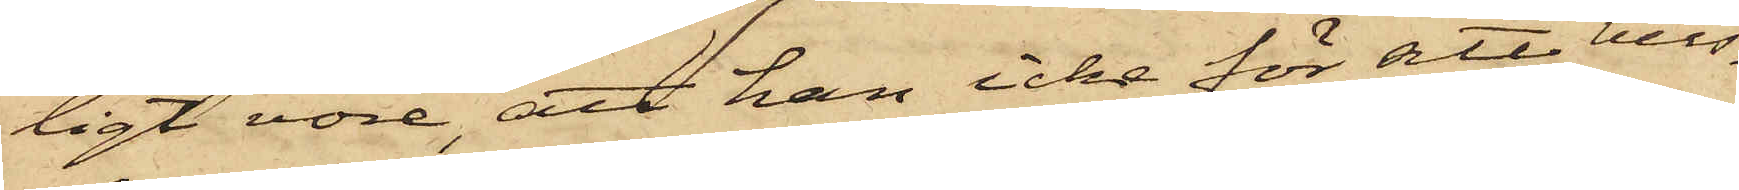ligt vore, att han icke för sitt hus¬
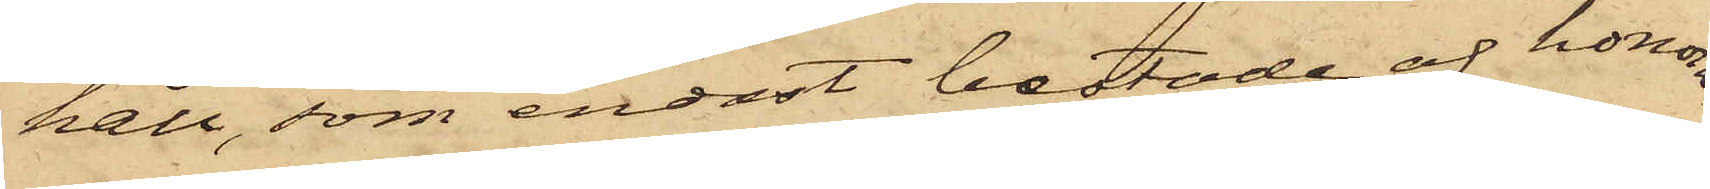håll, som endast bestode af honom,
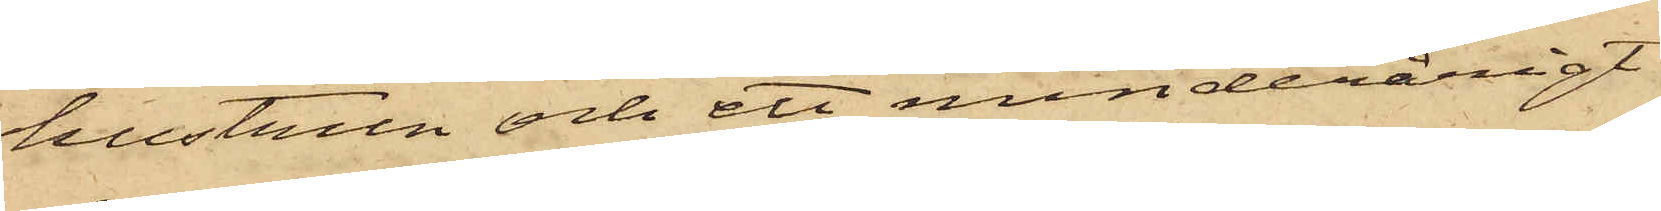hustrun och ett minderårigt
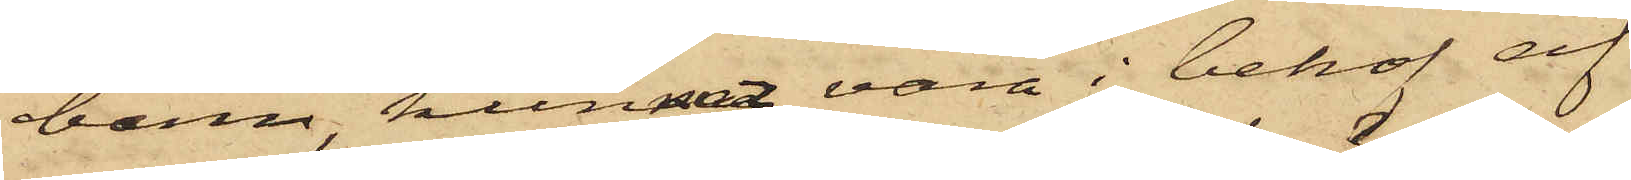barn, kunnat vara i behof af
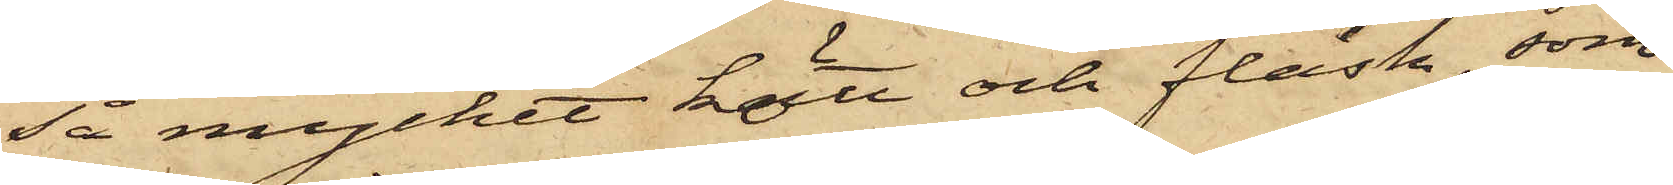så mycket kött och fläsk, som
